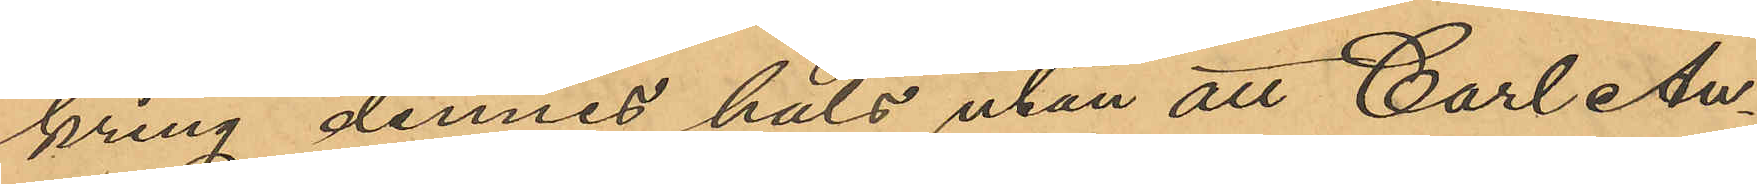kring dennes hals utan att Carl An¬
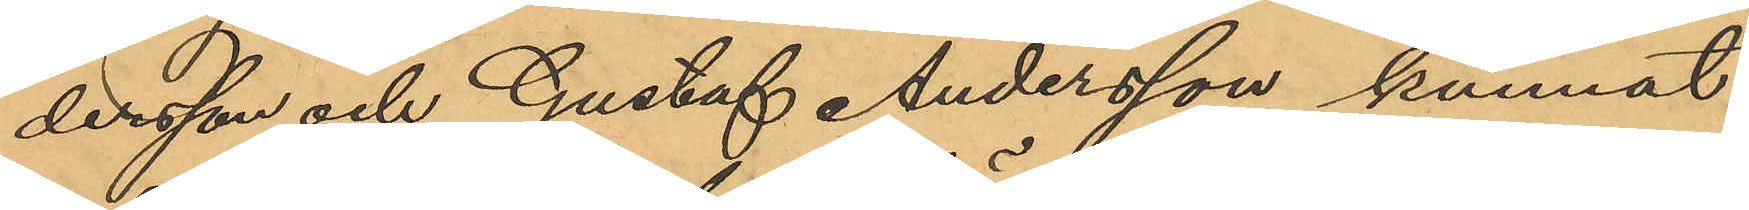dersson och Gustaf Andersson kunnat
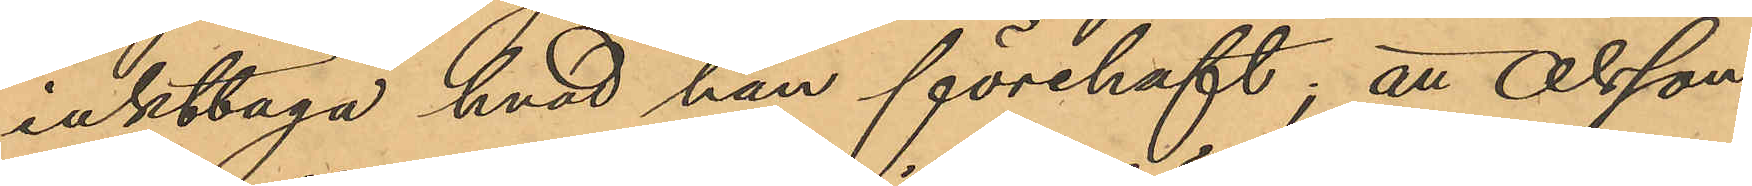iakttaga hvad han förehaft; att Olsson,
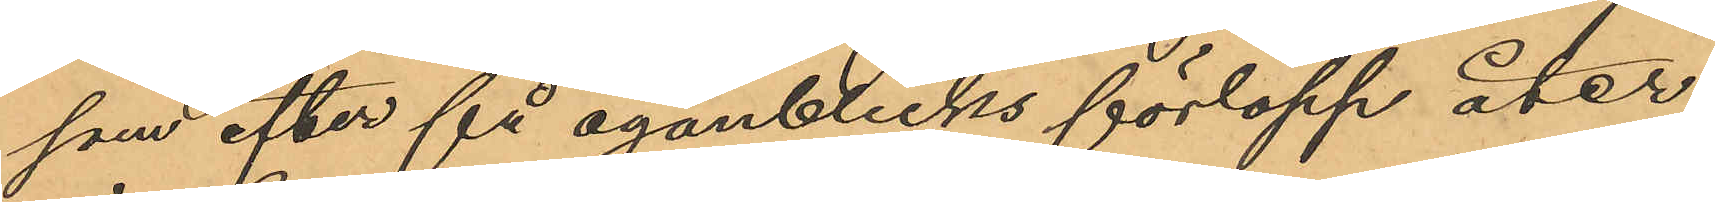som efter få ögonblicks förlopp åter¬
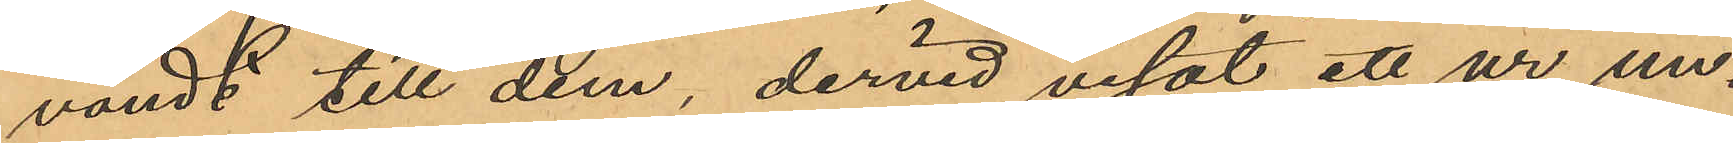vändt till dem, dervid visat ett ur un¬
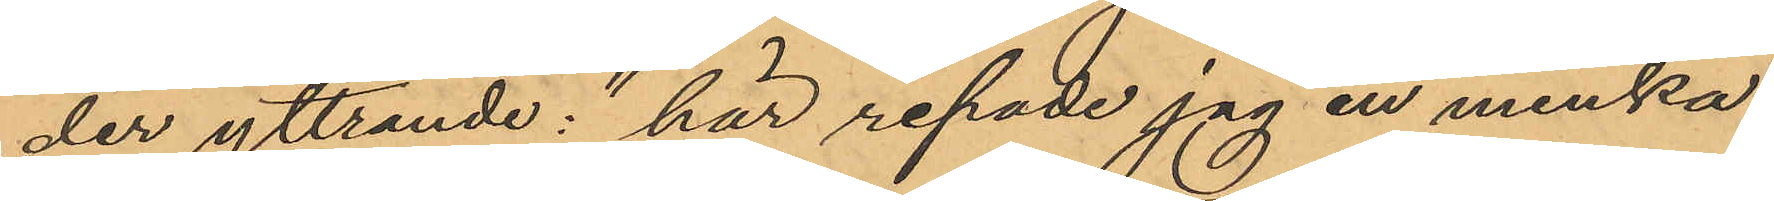der yttrande: "här repade jag en minka"
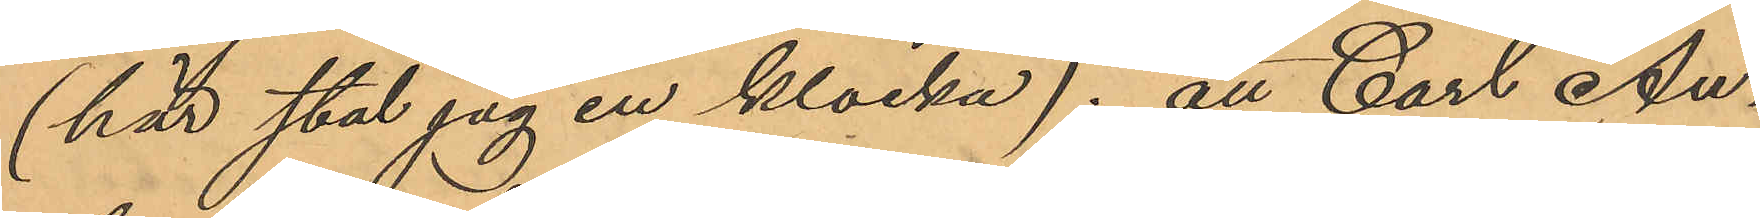(här stal jag en klocka); att Carl An¬
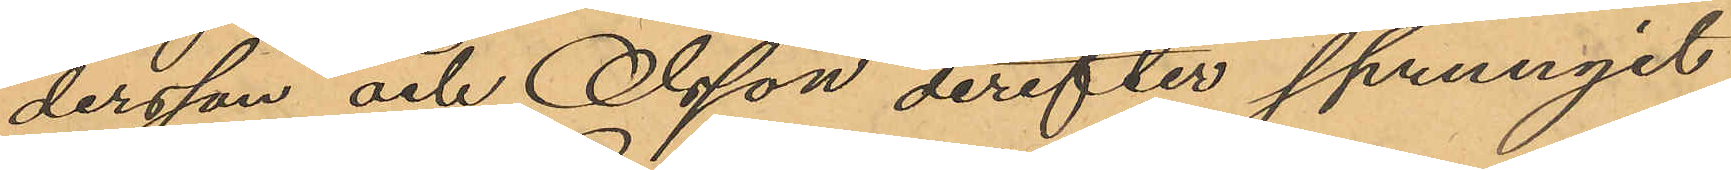dersson och Olsson derefter sprungit
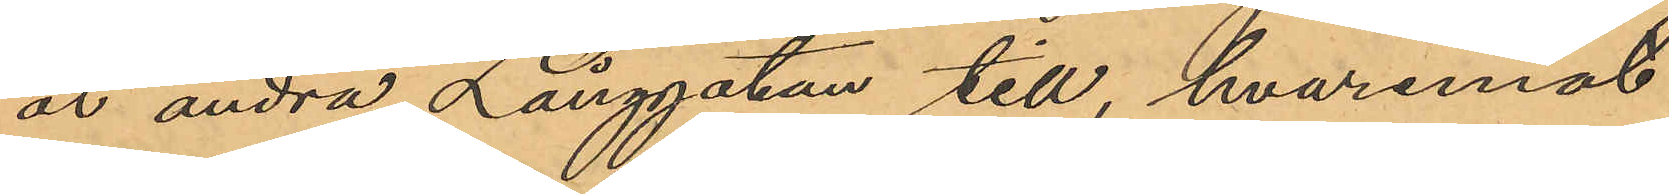åt andra Långgatan till, hvaremot
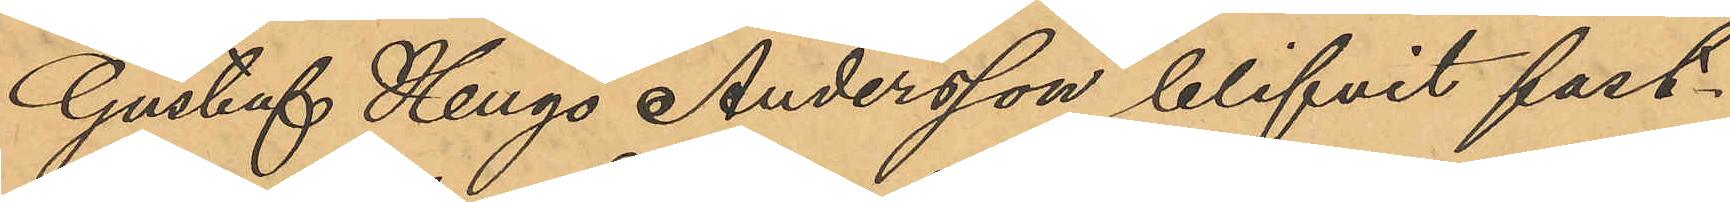Gustaf Hugo Andersson blifvit fast¬
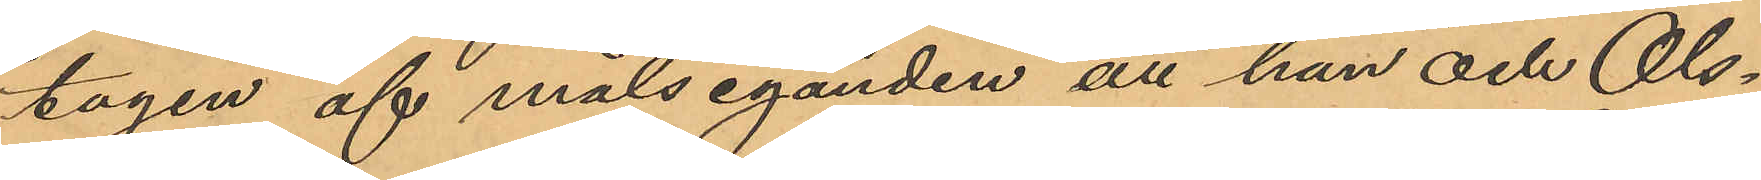tagen af målseganden att han och Ols¬
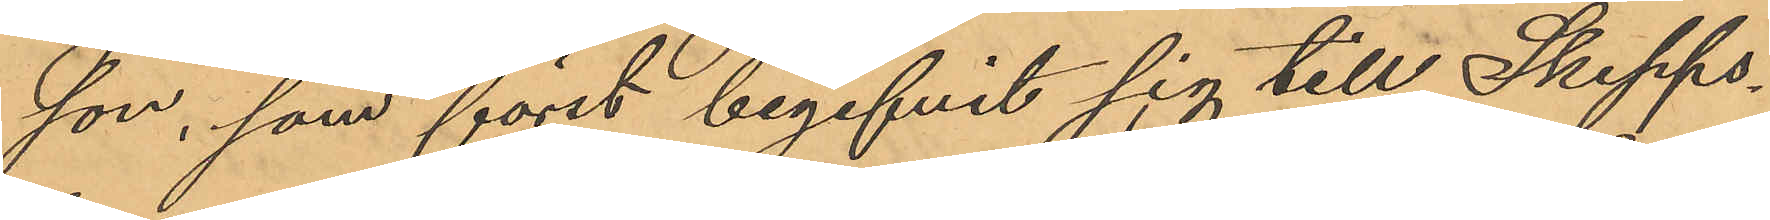son, som först begifvit sig till Skepps¬
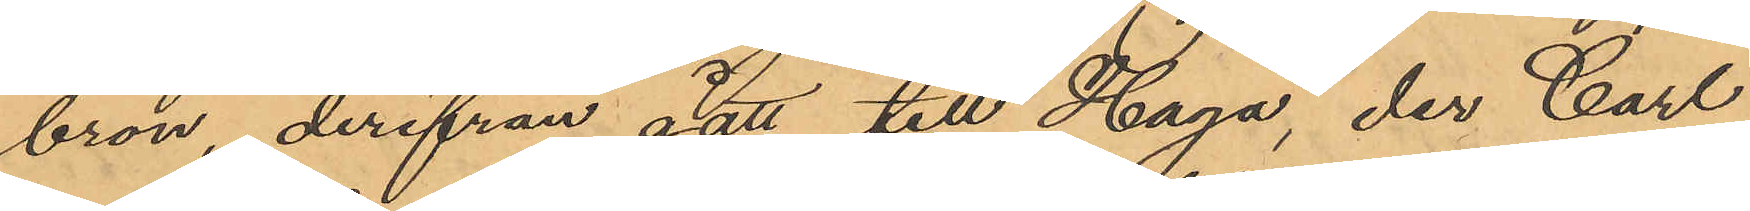bron, derifrån gått till Haga, der Carl
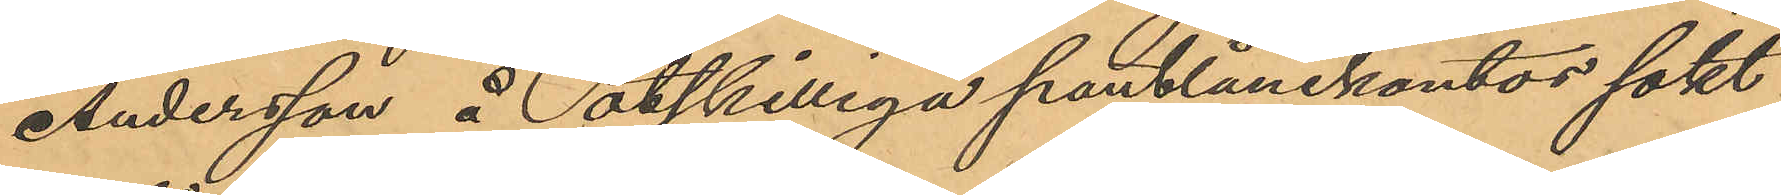Andersson å åtskilliga pantlånekontor sökt
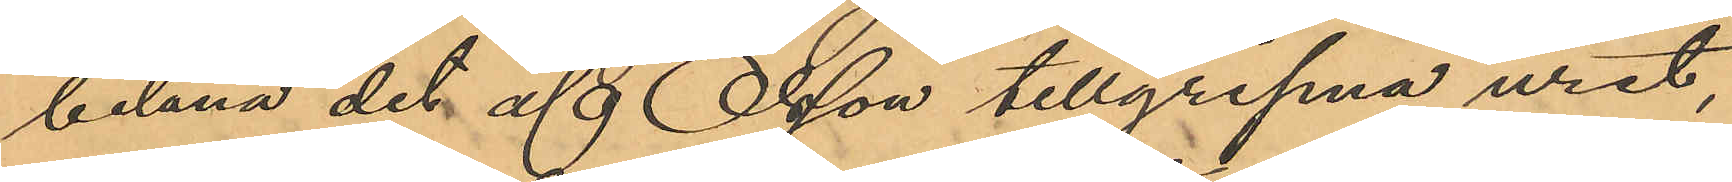belåna det af Olsson tillgripna uret,
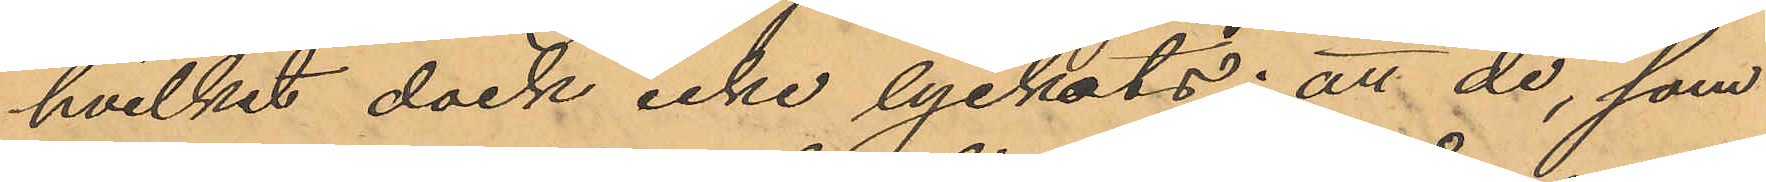hvilket dock icke lyckats; att de, som
